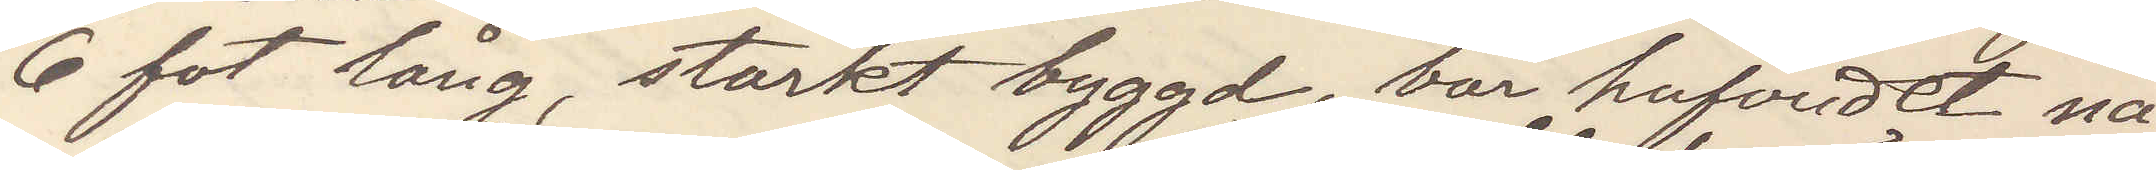6 fot lång, starkt byggd, bär hufvudet nå¬
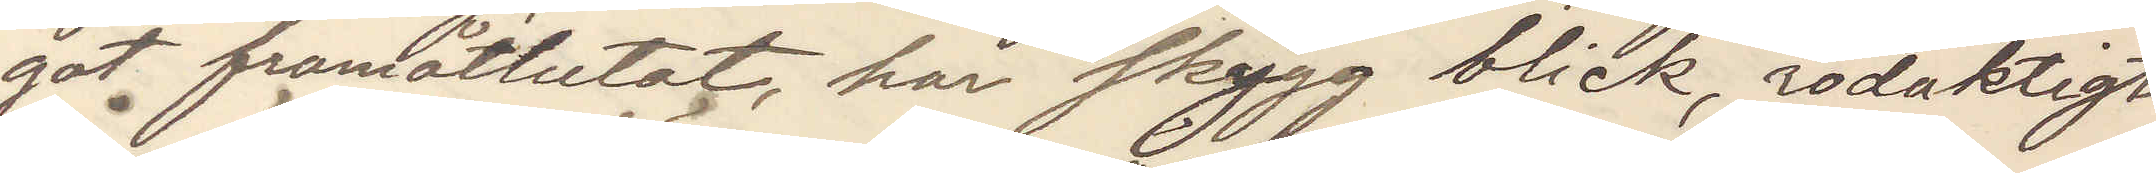got framåtlutat, har skydd blick, rödaktigt
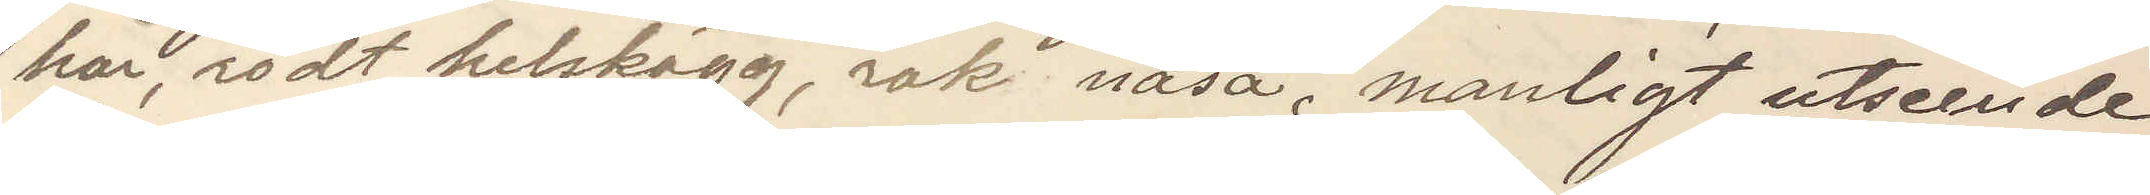hår, rödt helskägg, rak näsa, manligt utseende
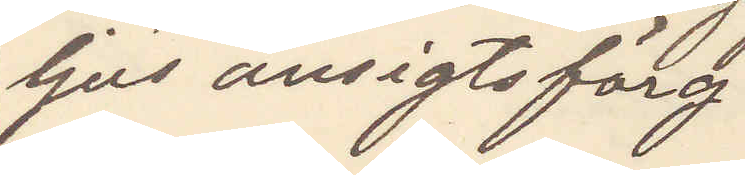ljus ansigtsfärg.
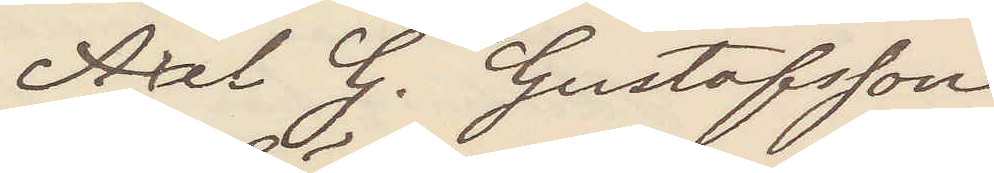Axel G. Gustafsson
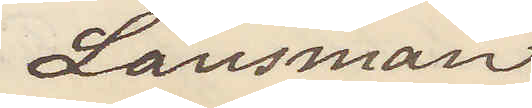Länsman
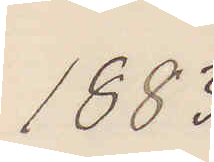1883
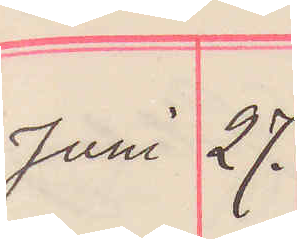Juni 27.
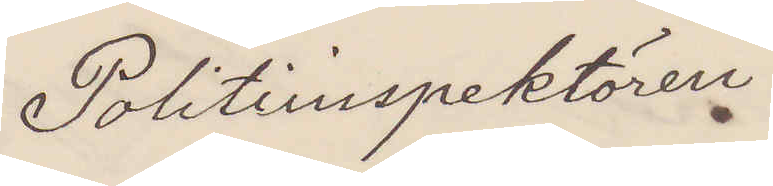Politiinspektören
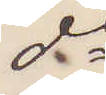do
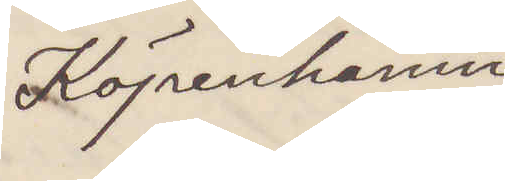Köpenhamn
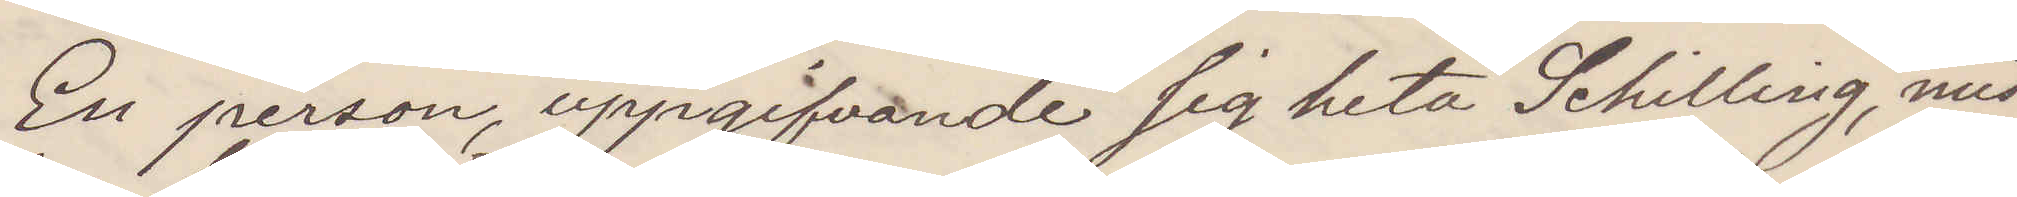En person uppgifvande sig heta Schilling, miss¬
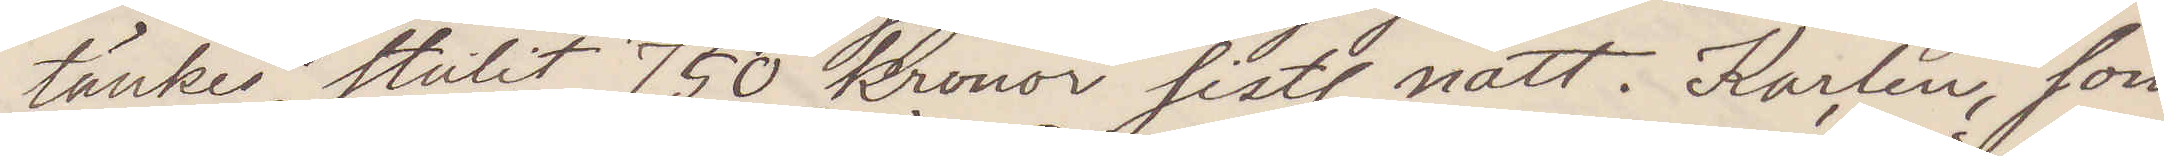tänkes, stulit 750 kronor sistl natt. Karlen, som
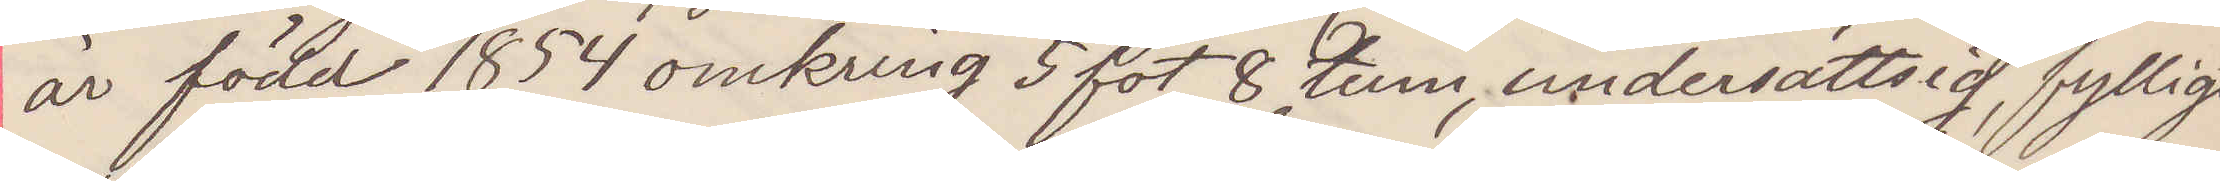är född 1854 omkring 5 fot 8 tum, undersättsig, fylligt
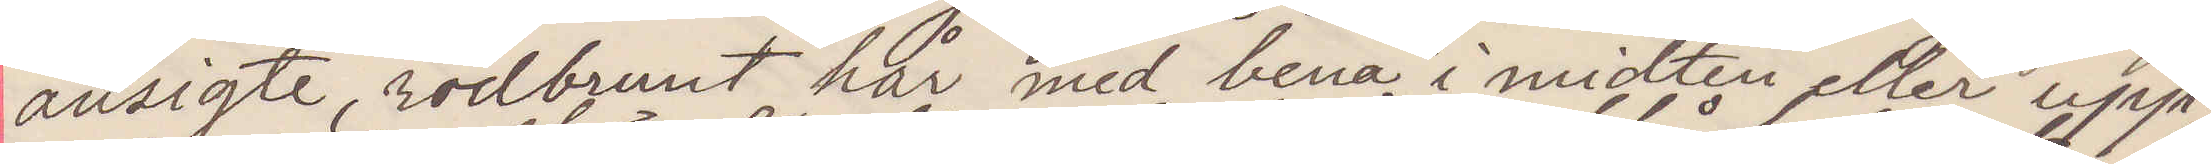ansigte, rödbrunt hår med bena i midten eller upp¬
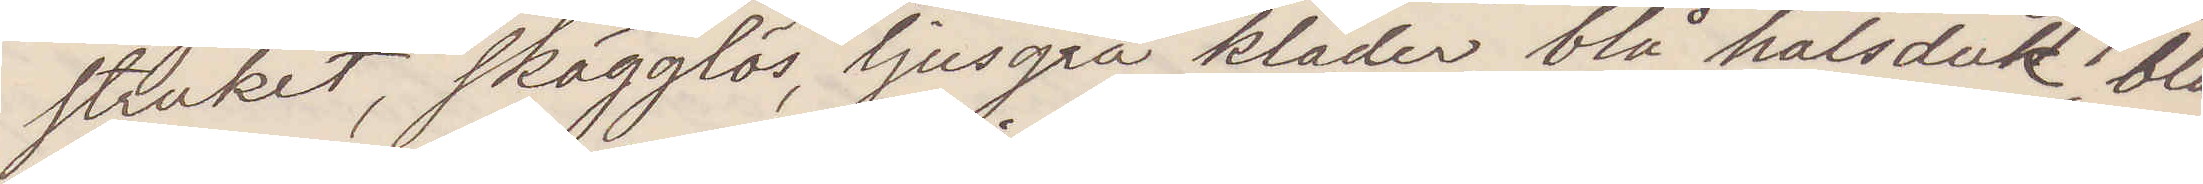struket, skägglös, ljusgrå kläder, blå halsduk blå
